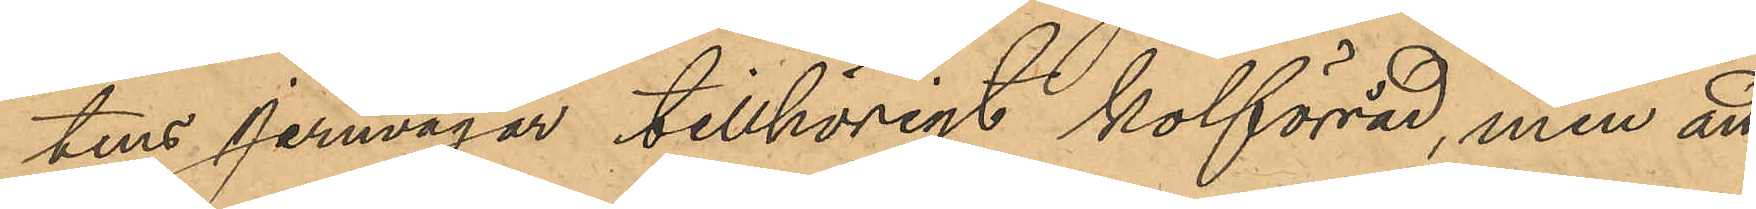tens Jernvägar tillhörigt kolförråd, men att
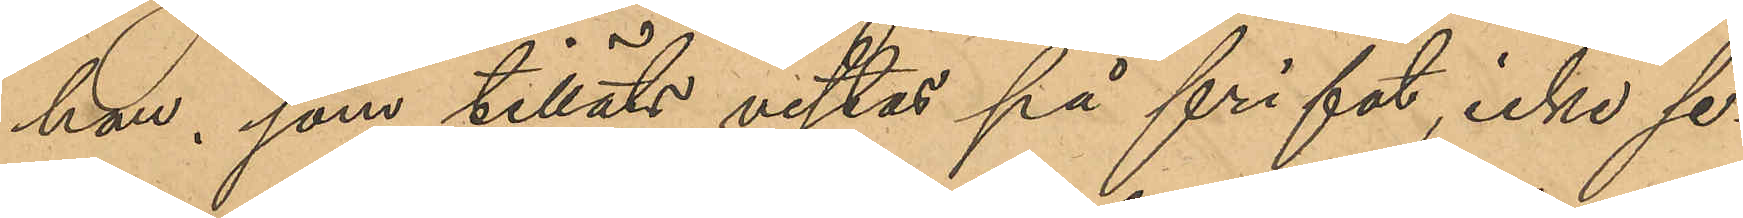han, som tilläts vistas på fri fot, icke se¬
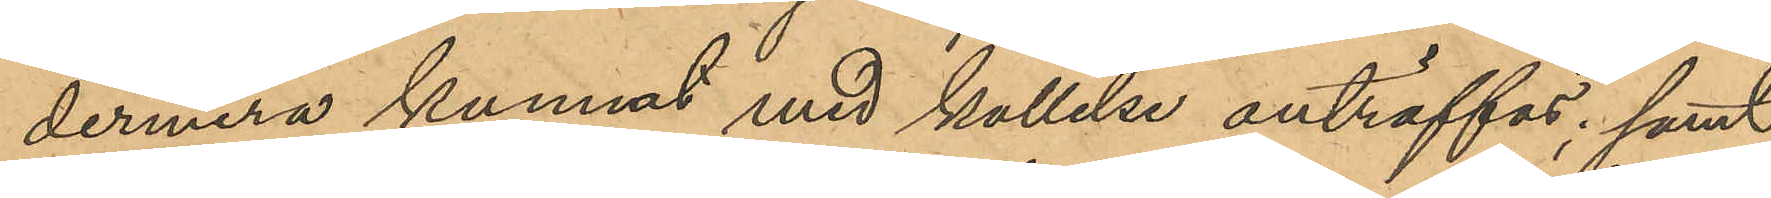dermera kunnat med kallelse anträffas; samt
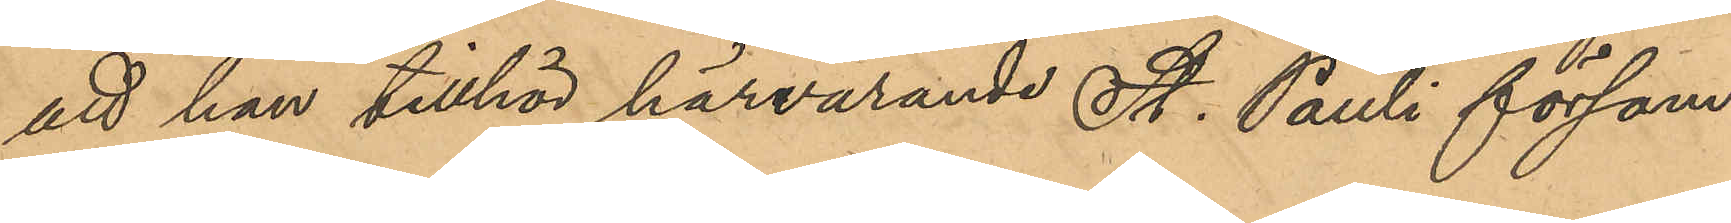att han tillhör härvarande St. Pauli försam¬
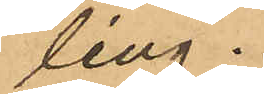ling.
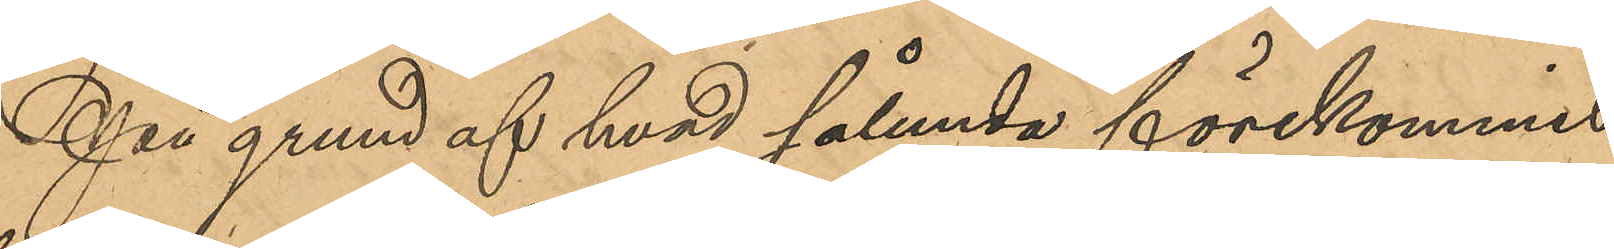På grund af hvad sålunda förekommit
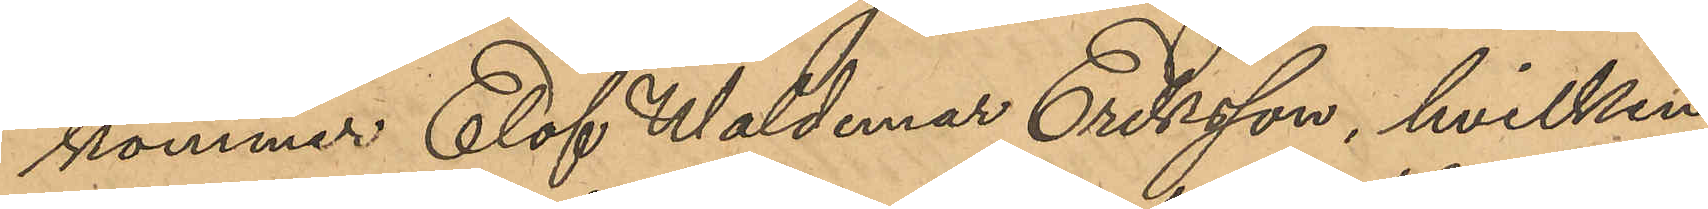kommer Elof Waldemar Eriksson, hvilken
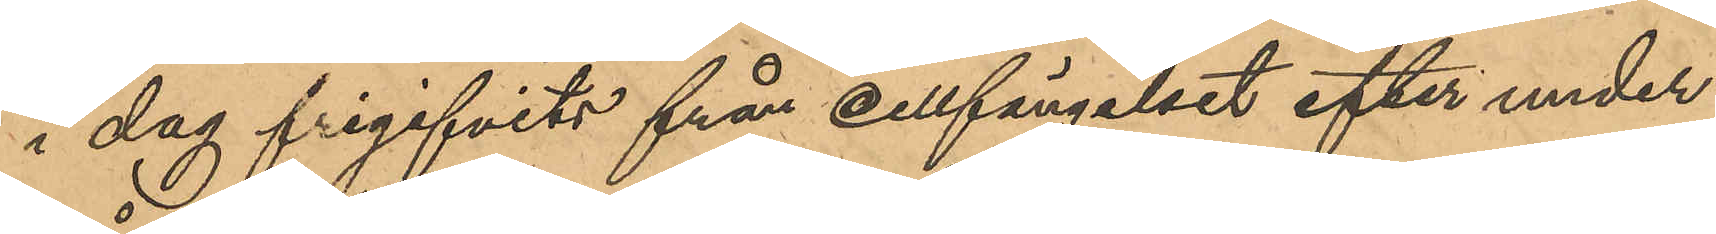i dag frigifvits från Cellfängelset efter under¬
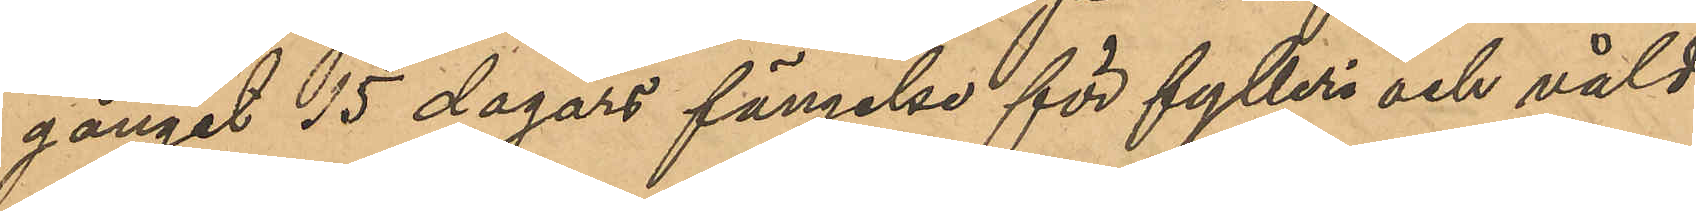gånget 15 dagars fängelse för fylleri och våld
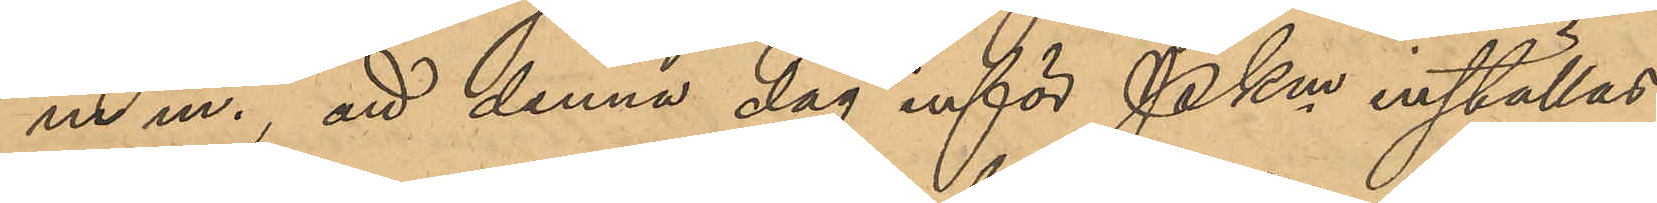m m., att denna dag inför PKen inställas.
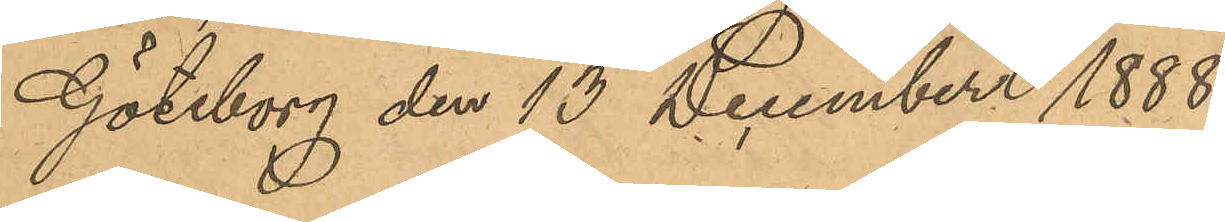Göteborg den 13 December 1888.
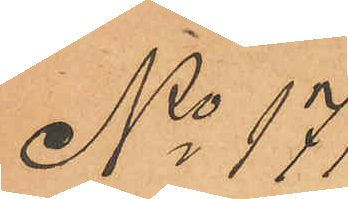No 171
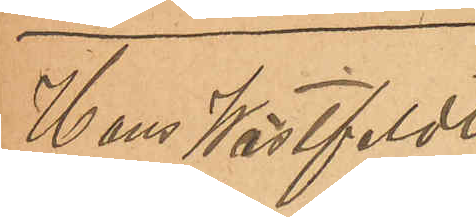Hans Wästfeldt
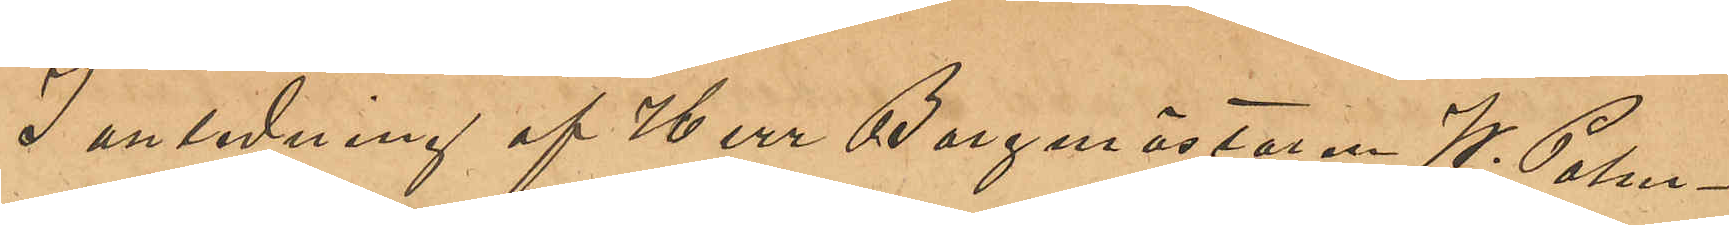I anledning af Herr Borgmästaren W. Palm¬
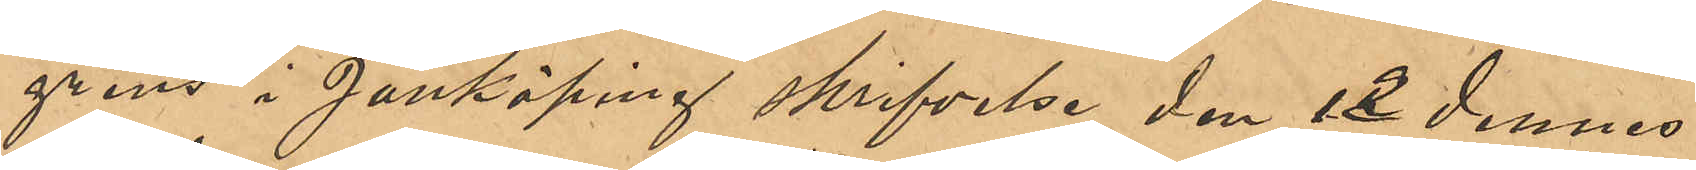grens i Jönköping skrifvelse den 12 dennes
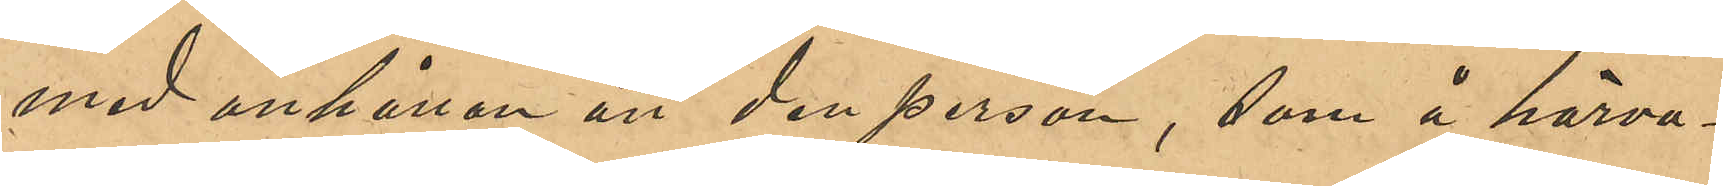med anhållan att den person, som å härva¬
